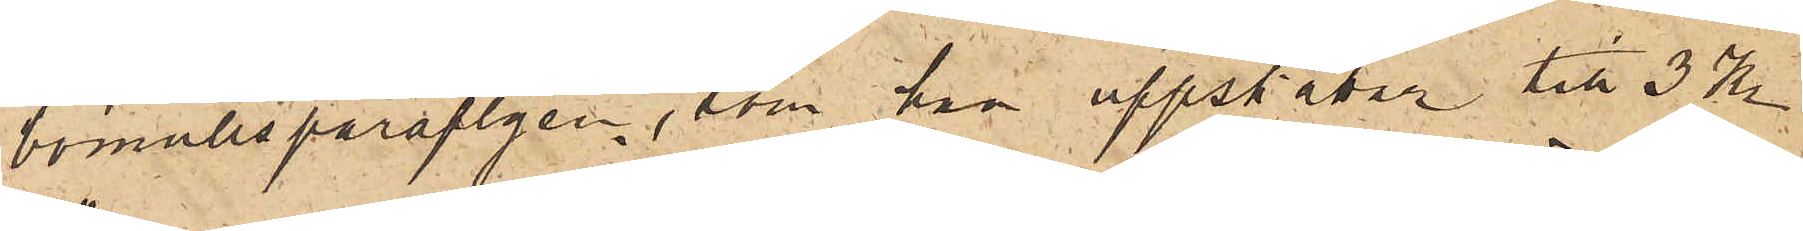bomullsparaplyen, som han uppskattar till 3 Kr.
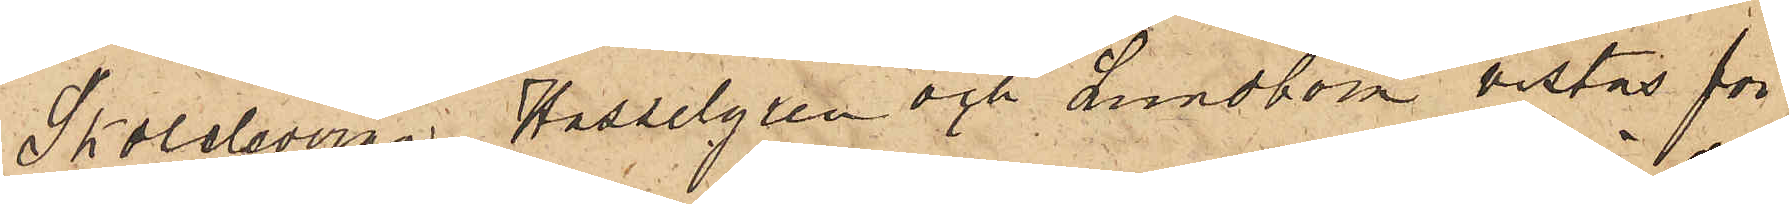Skoleleverna Hasselgren och Lundbom vistas för
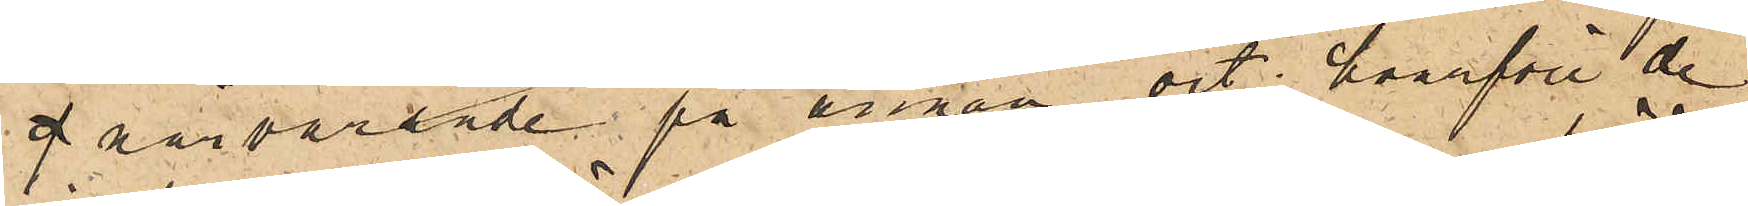g närvarande på annan ort, hvarföre de
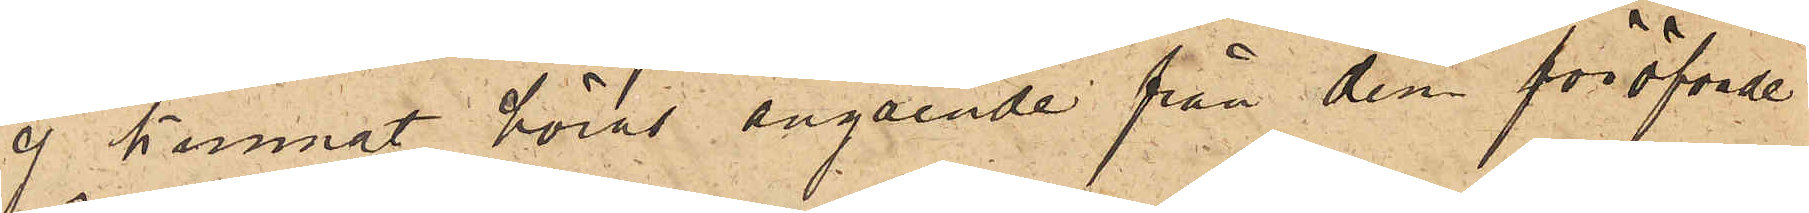ej kunnat höras angående från dem föröfvade
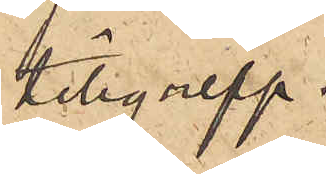tillgrepp.
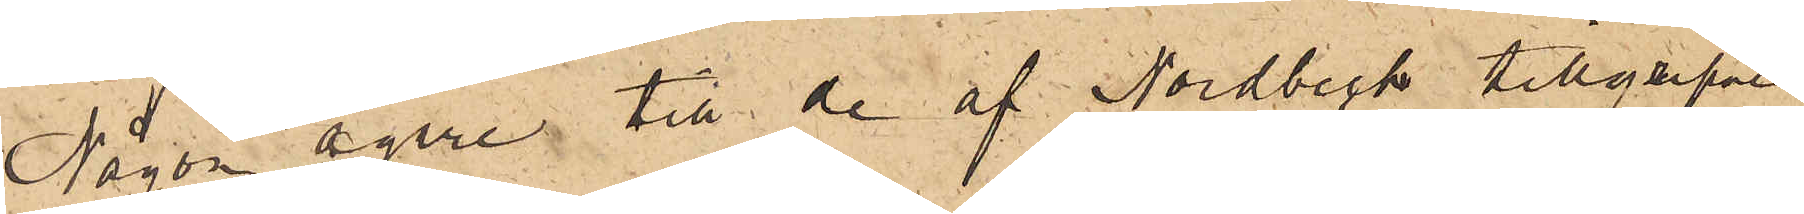Någon egare till de af Nordbeck tillgripne
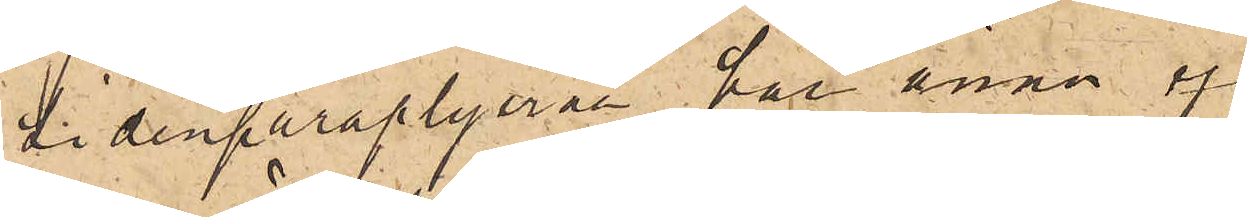sidenparaplyerna har ännu ej
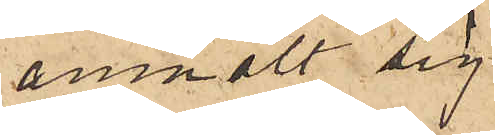anmält sig.
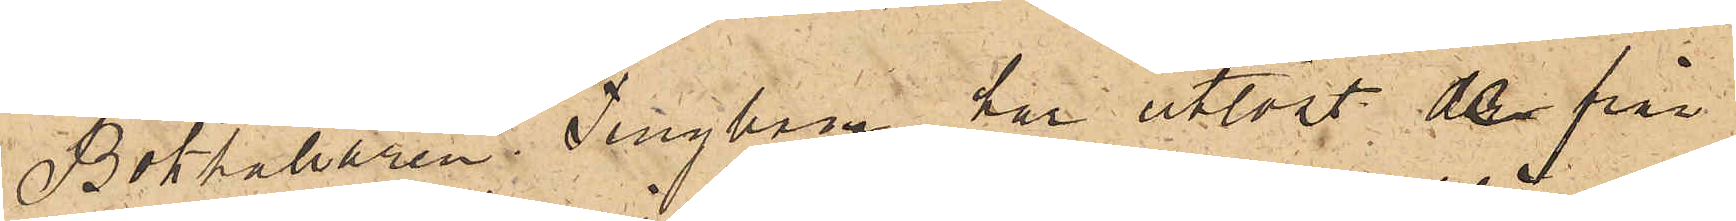Bokhållaren Tengbom har utlöst de från
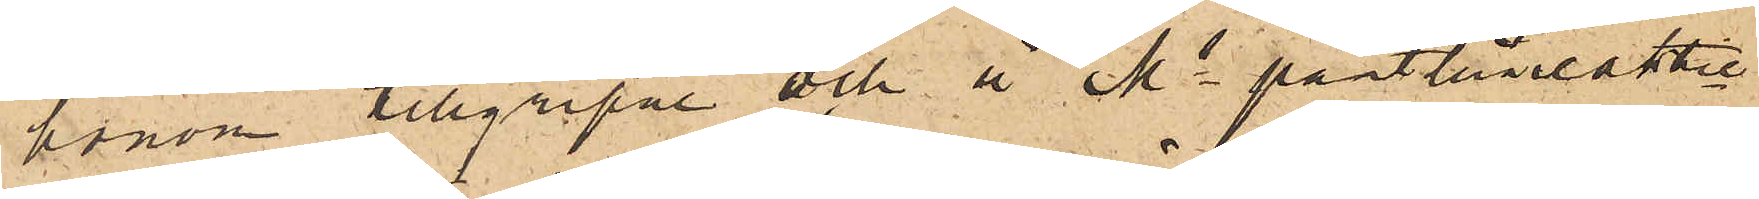honom tillgripne och å Ms pantlåneaktie¬
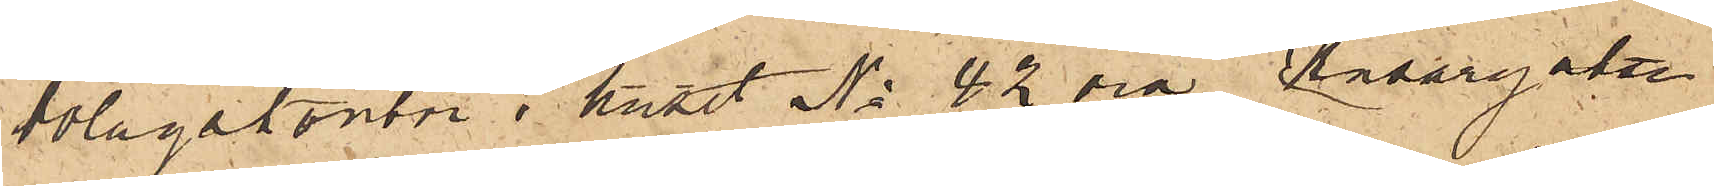bolagskontor i huset No 42 vid Husargatan
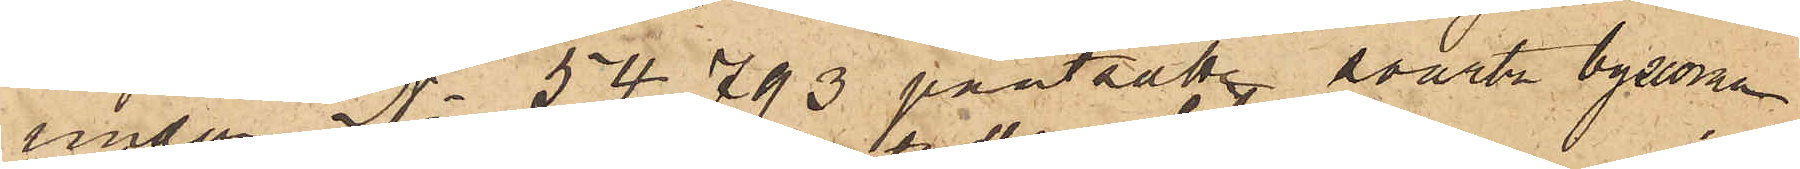under No 54793 pantsatte svarta byxorna.
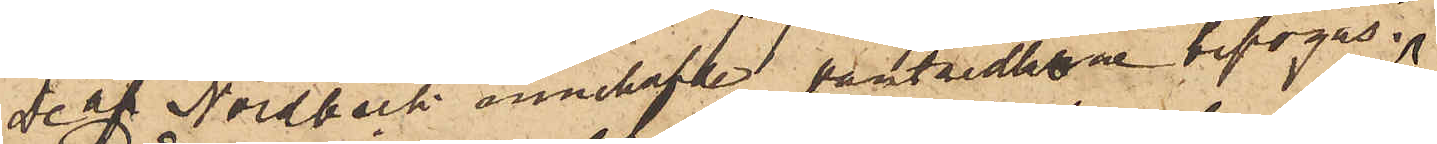De af Nordbeck innehafde pantsedlarne bifogas.
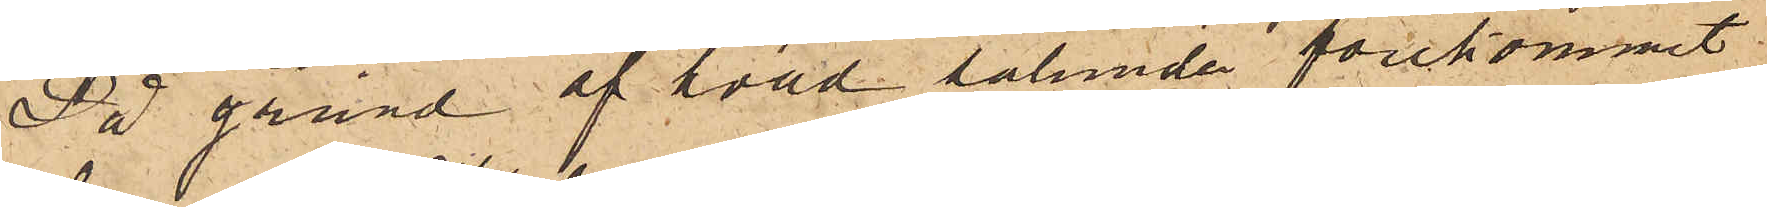På grund af hvad sålunda förekommit
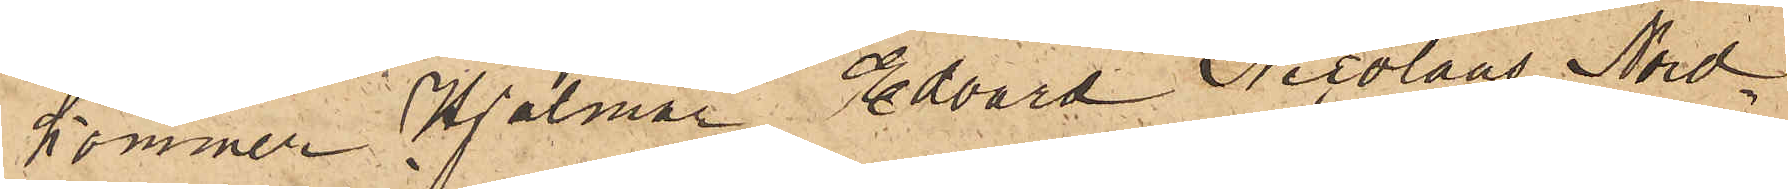kommer Hjalmar Edvard Nicolaus Nord¬
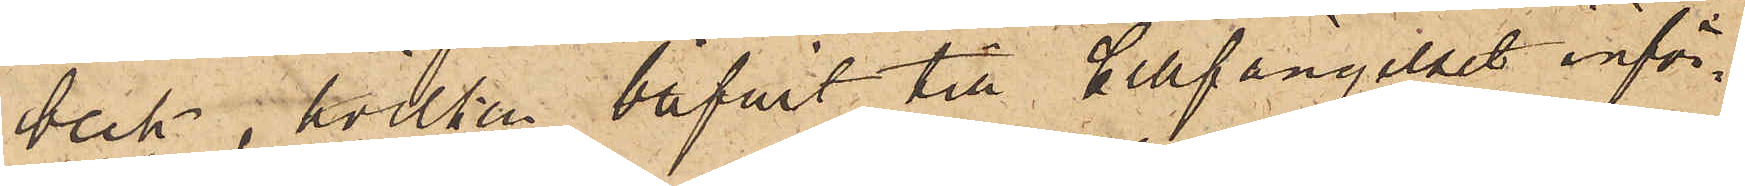beck, hvilken bifvit till Cellfängelset inför¬
